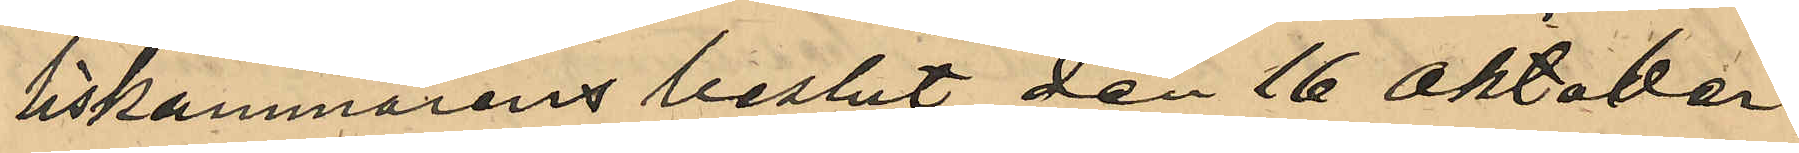liskammarens beslut den 16 Oktober
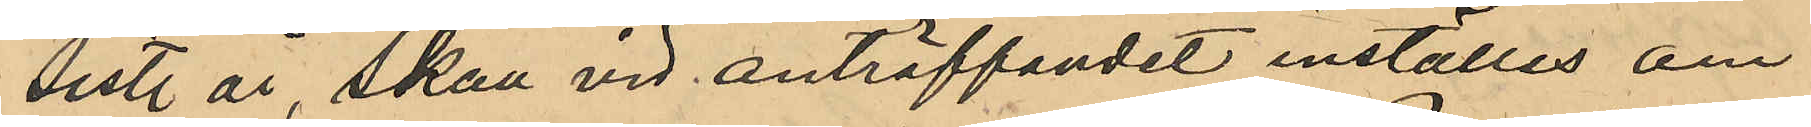sist. år skall vid anträffandet inställas om
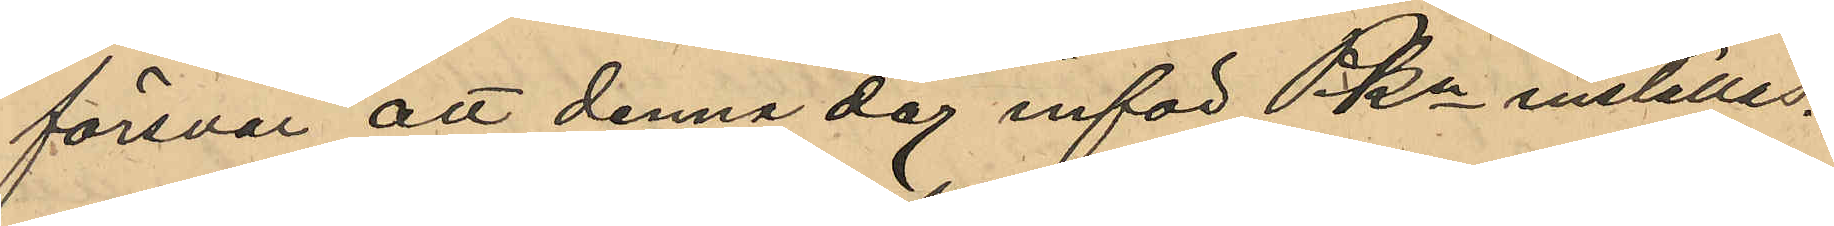försvar, att denna dag inför PKn inställas.
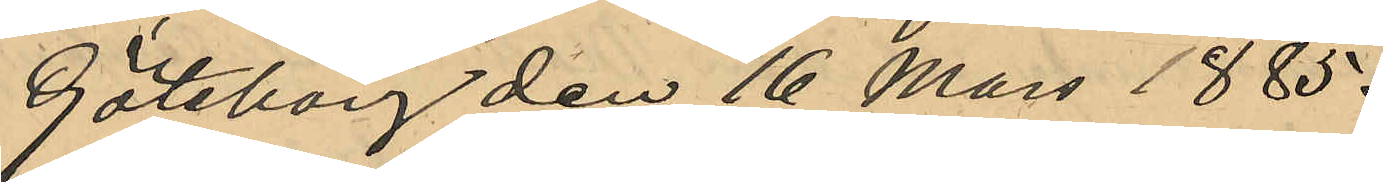Göteborg den 16 Mars 1885.
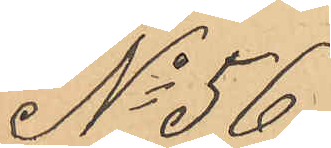No 56.
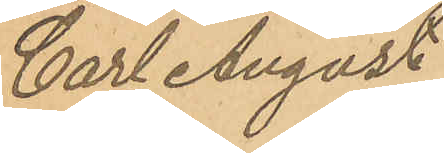Carl August
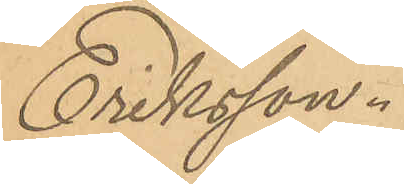Eriksson.
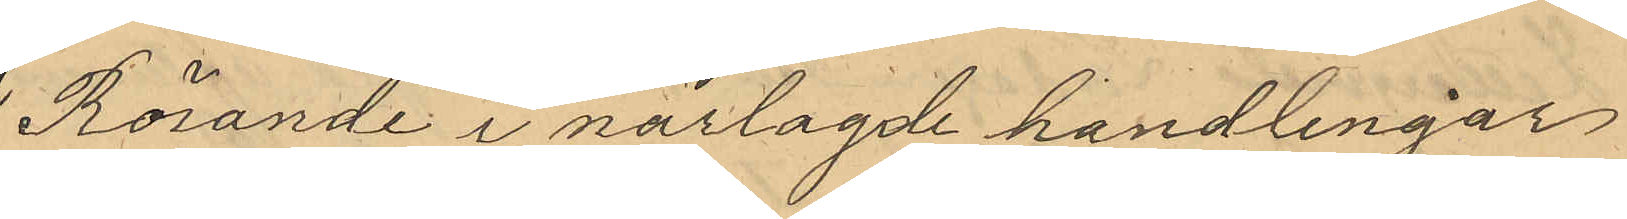Rörande i närlagde handlingar
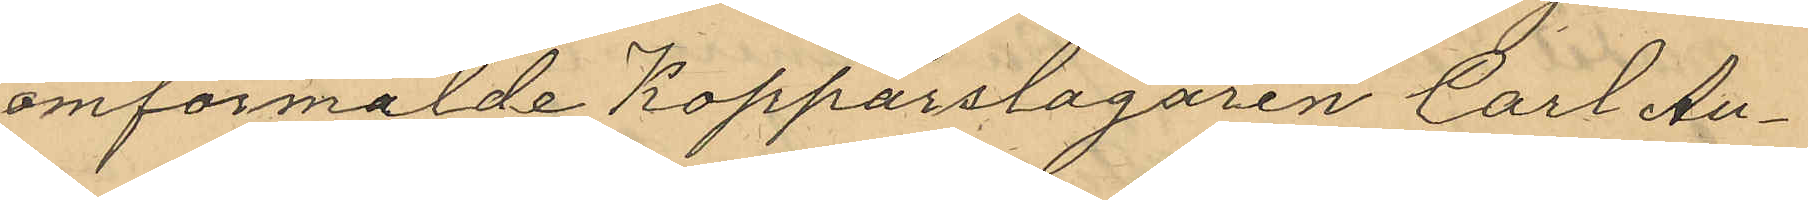omförmälde Kopparslagaren Carl Au¬
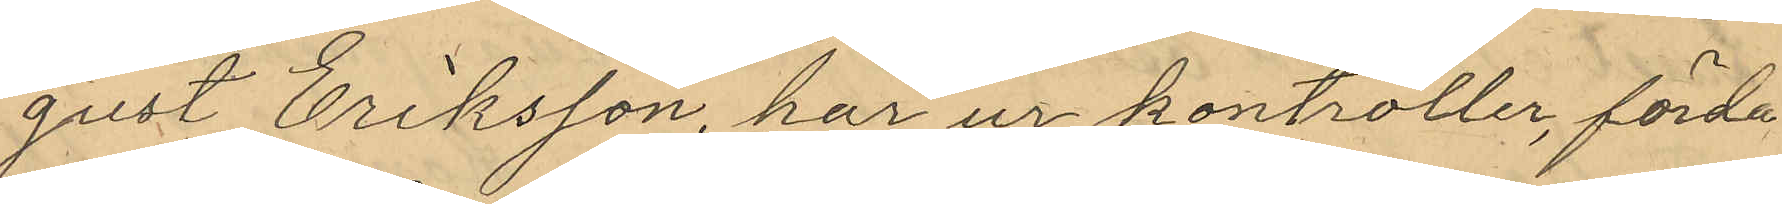gust Eriksson, har ur kontroller, förda
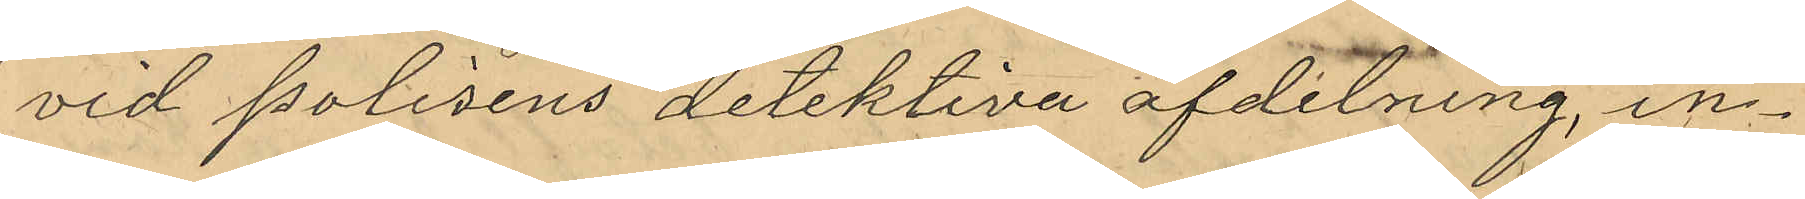vid polisens detektiva afdelning in¬
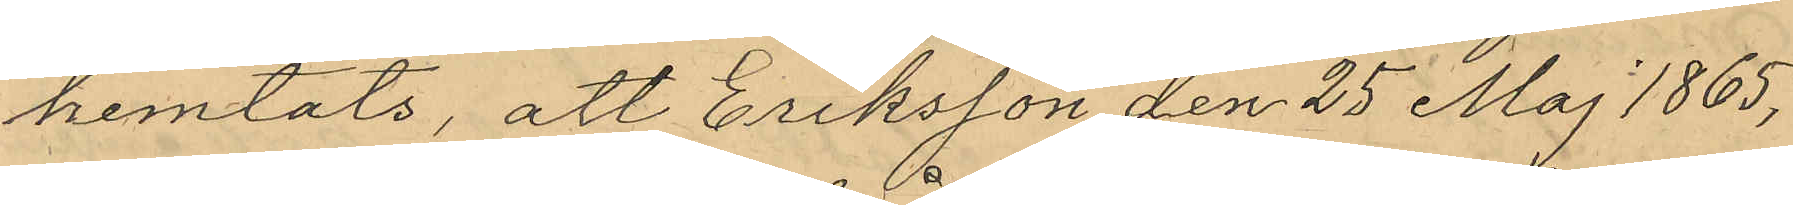hemtats, att Eriksson den 25 Maj 1865,
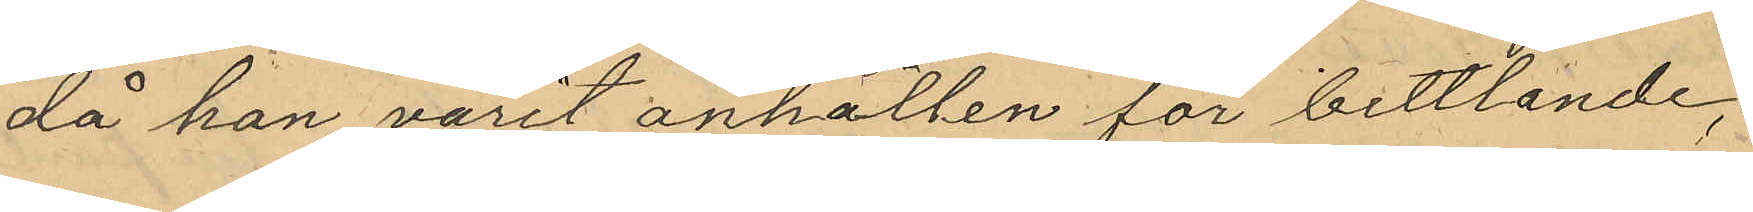då han varit anhållen för bettlande,
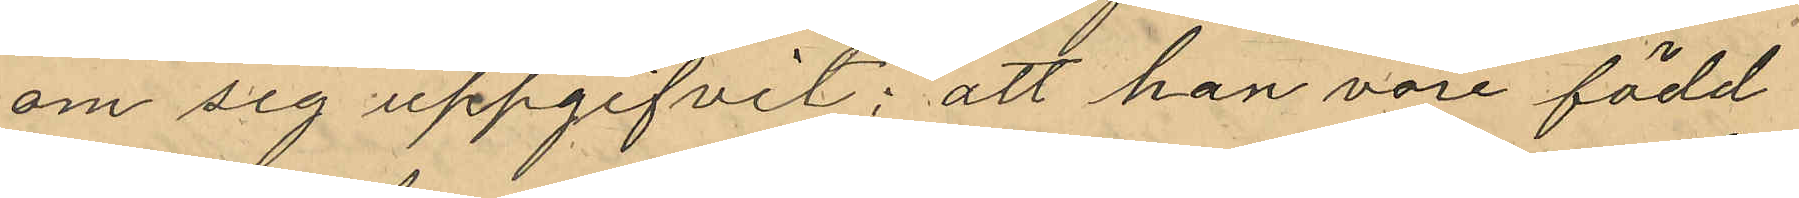om sig uppgifvit; att han vore född
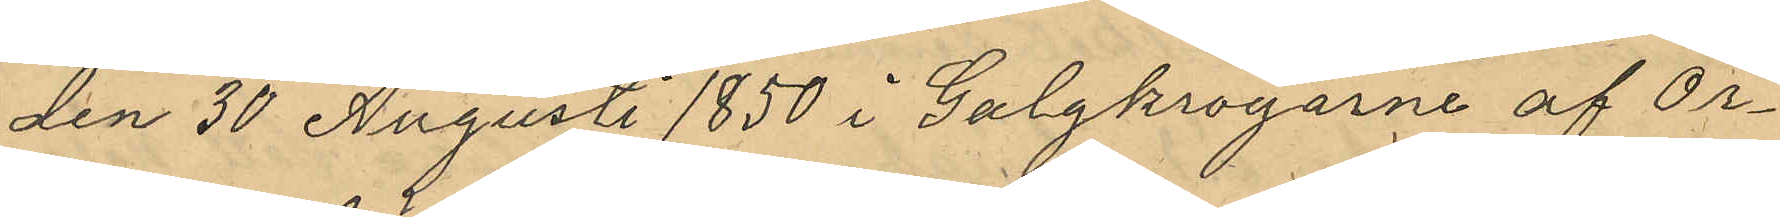den 30 Augusti 1850 i Galgkrogarne af Ör¬
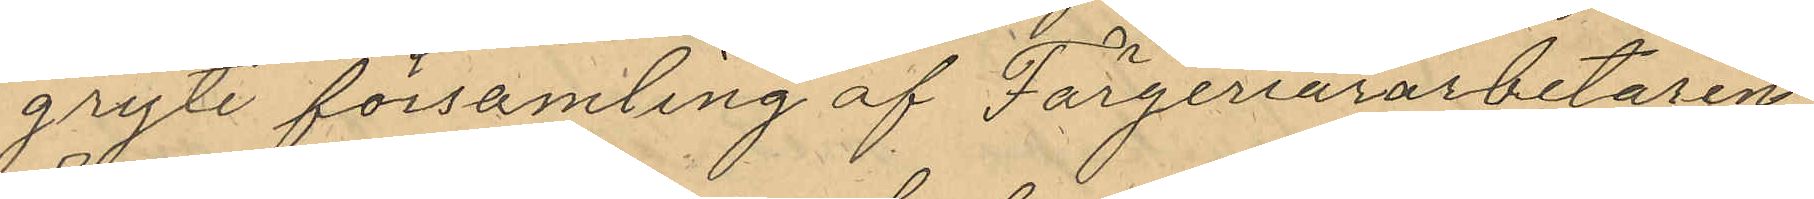gryte församling af Färgeriararbetaren
